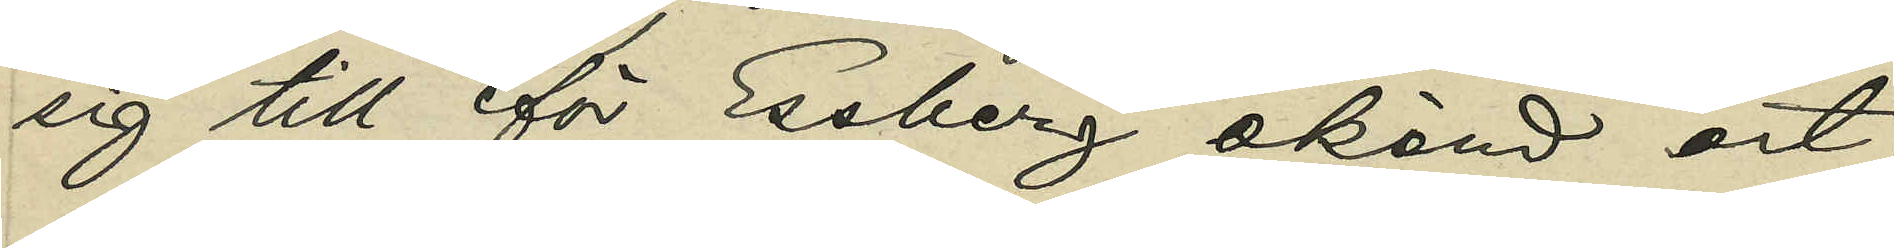sig till för Essberg okänd ort.
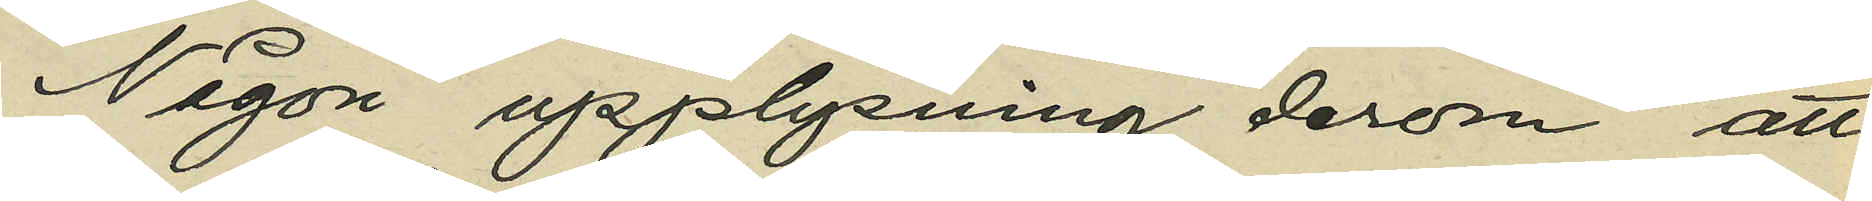Någon upplysning derom att
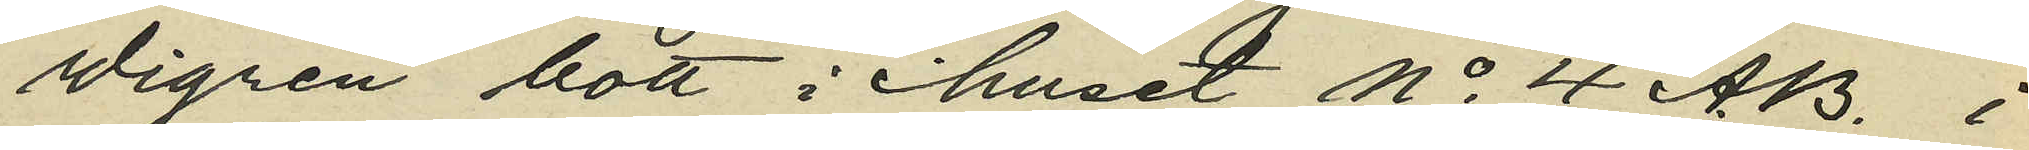Wigren bott i huset No 4 A.B. i
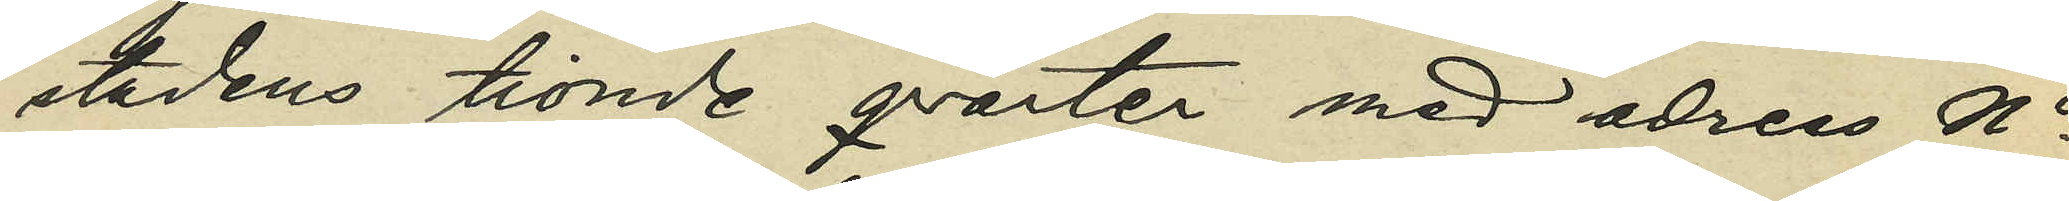stadens tionde qvarter med adress No
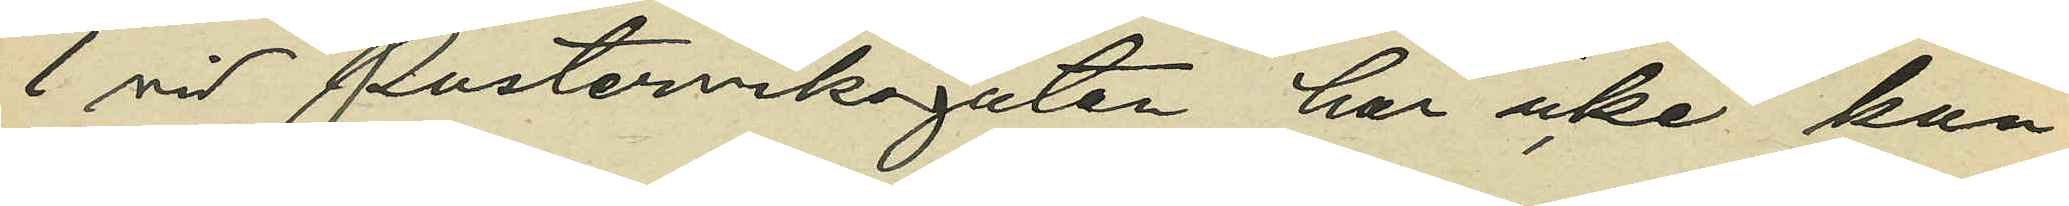1 vid Pusterviksgatan har icke kun¬
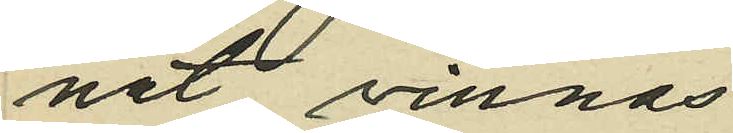nat vinnas.
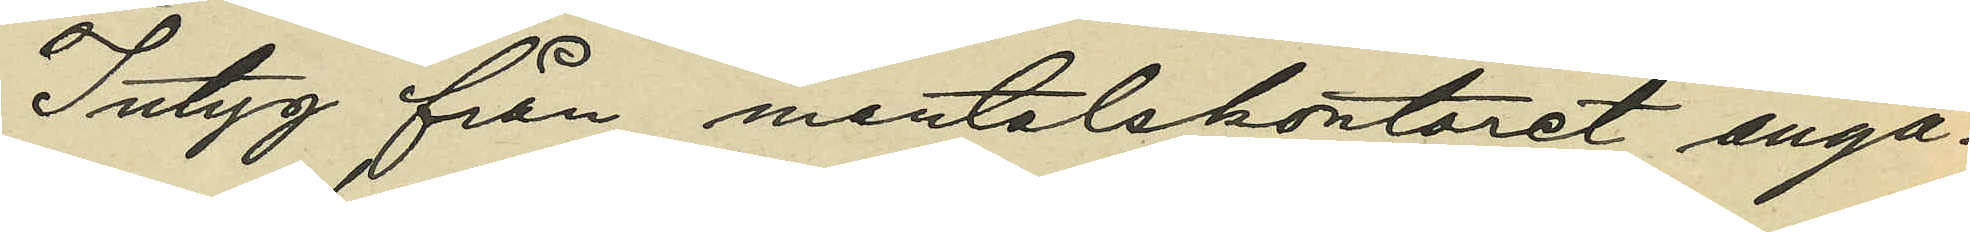Intyg från mantalskontoret angå¬
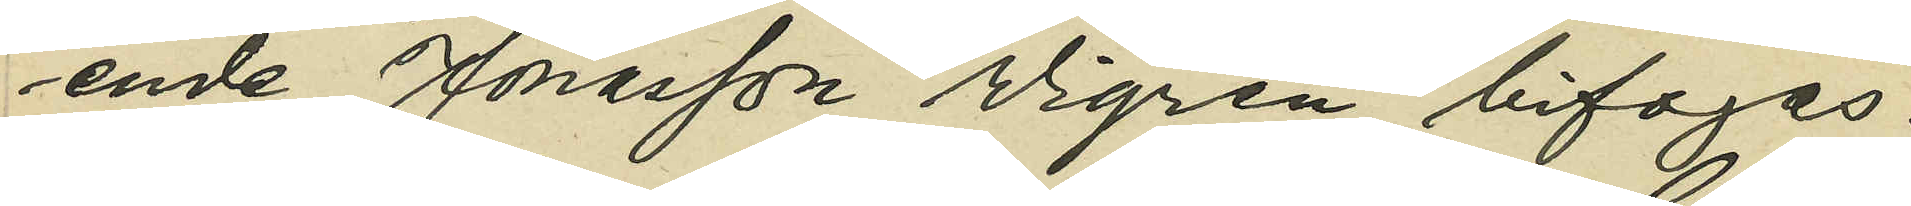ende Jonasson Wigren bifogas.
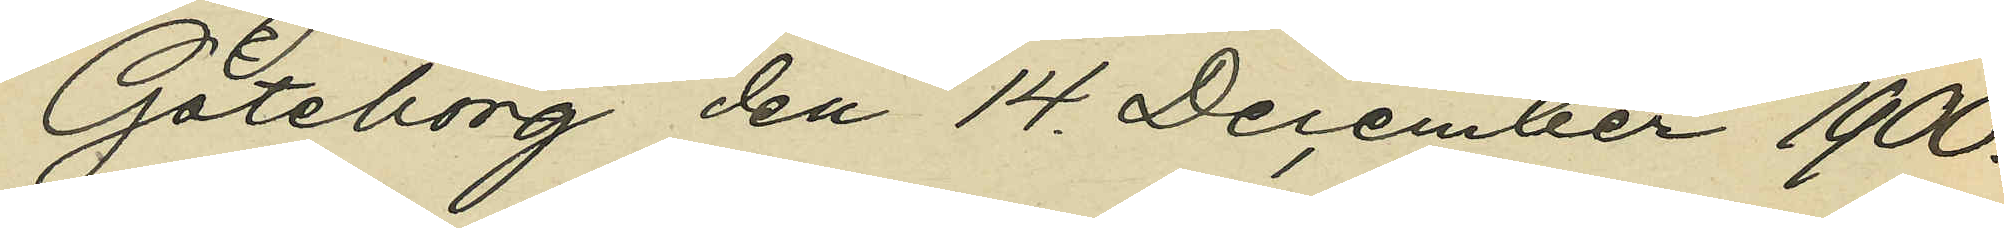Göteborg den 14 December 1900.
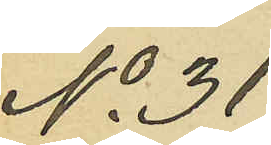No 31
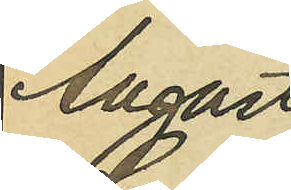August
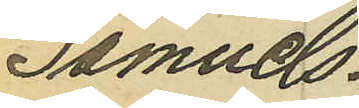Samuels¬
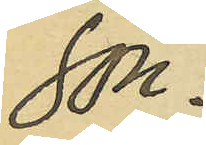son.
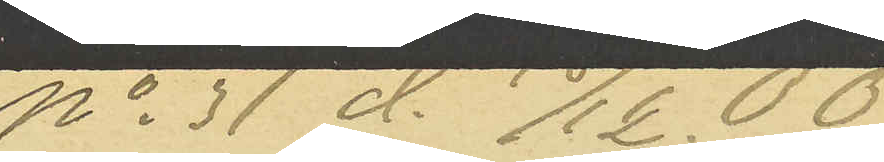No 31 d. /12. 00
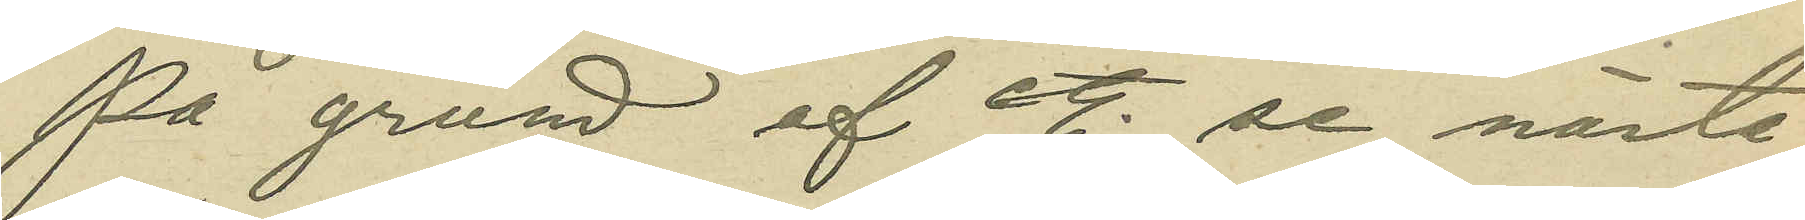På grund af etc. se nästa 
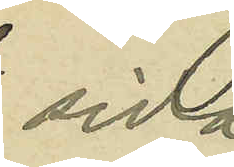sida.
